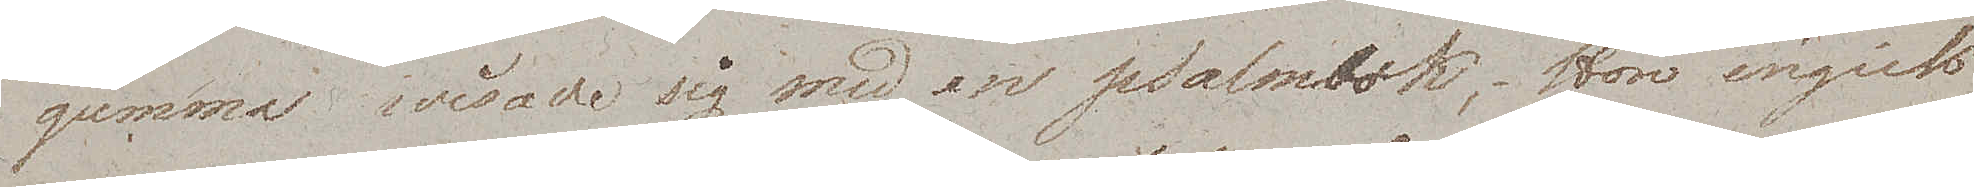gumma wisade sig med en psalmbok. Hon ingick
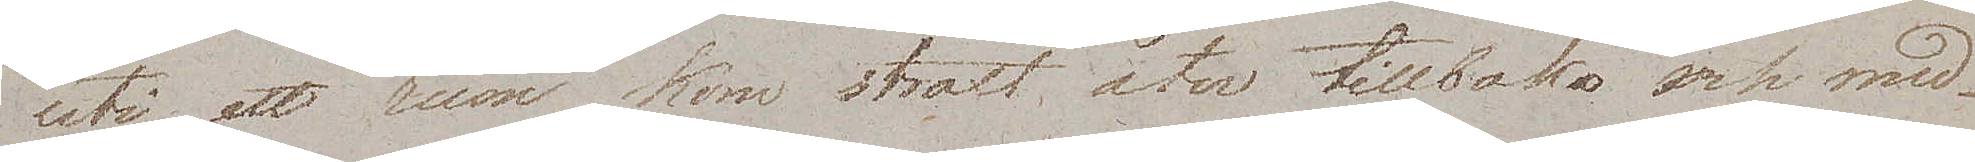uti ett rum, kom straxt åter tillbaka och med¬
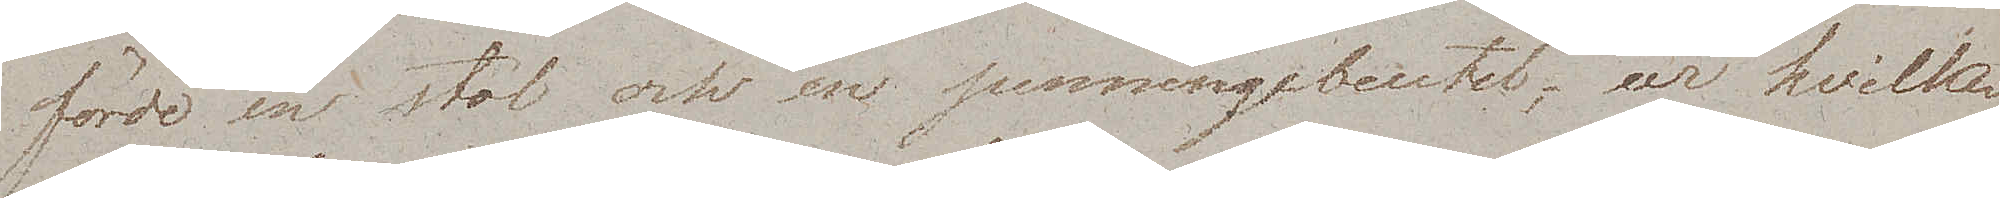förde en stol och en penningebundt, ur hvilken
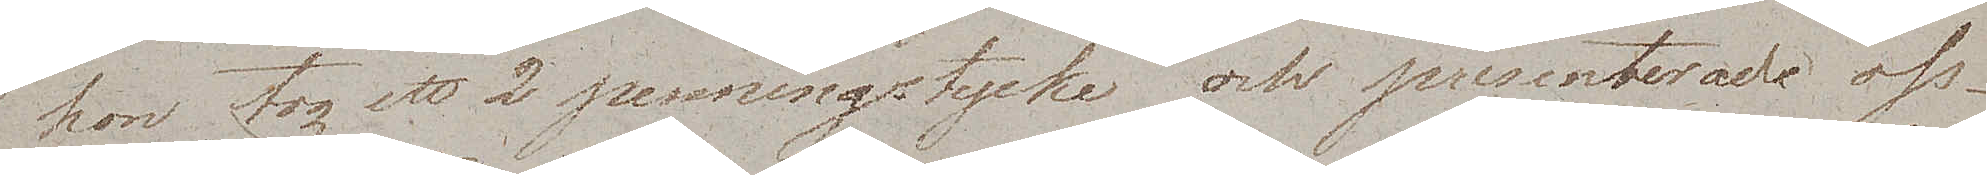hon tog ett 2 penningstycke och presenterade oss -
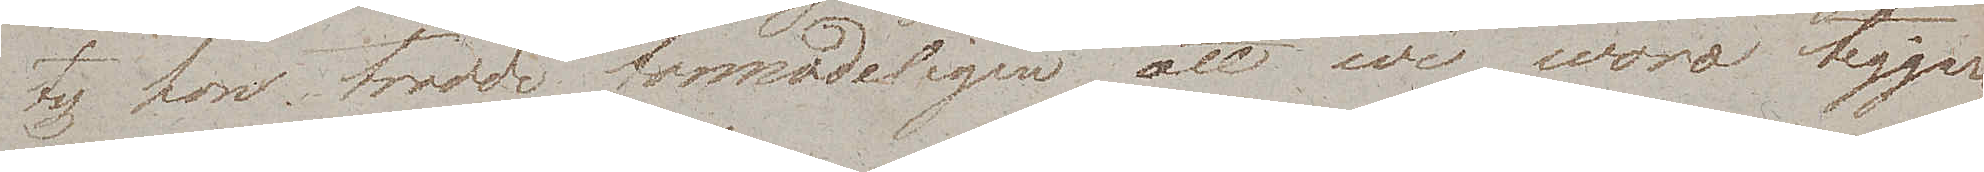ty hon trodde förmodeligen att wi woro tiggare
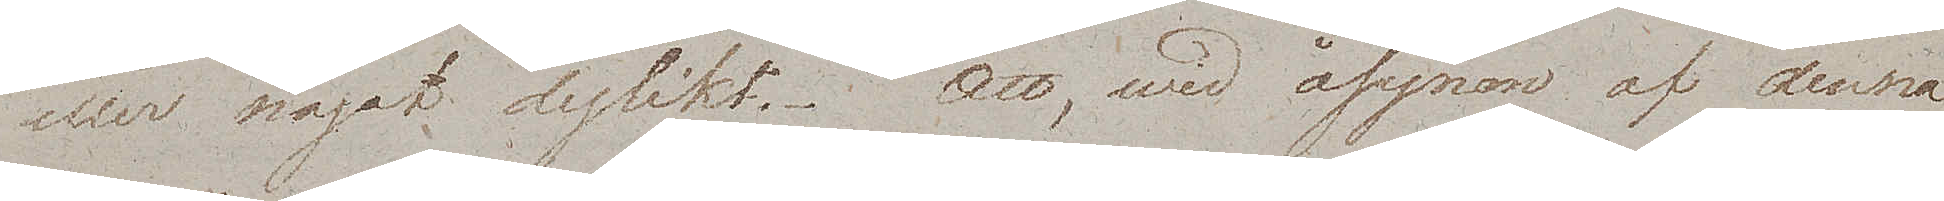eller något dylikt. Att, wid åsynen af denna
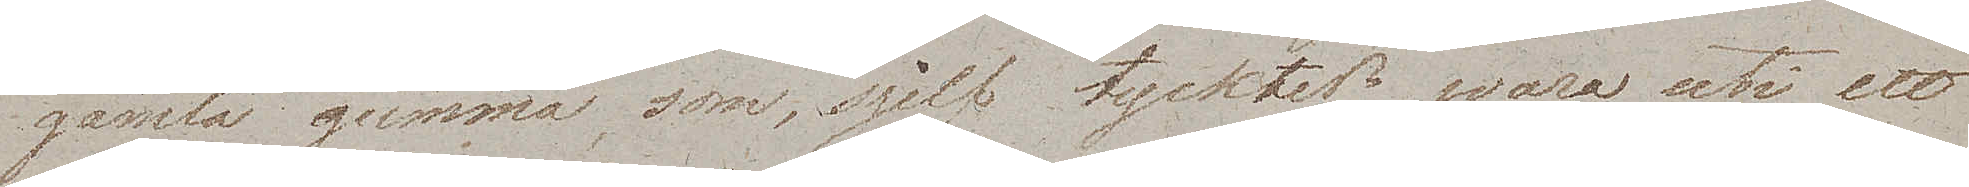gamla gumma, som, sjelf tycktes wara uti ett
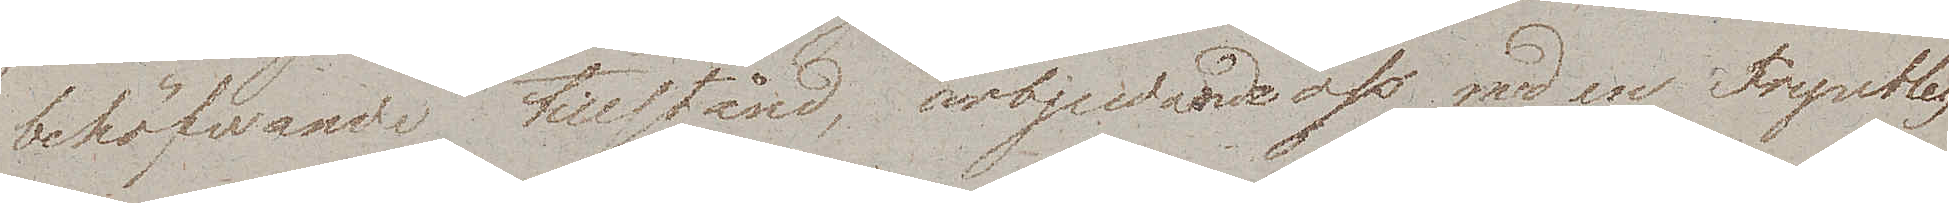behöfwande tillstånd, ärbjudande oss med en Fryntlig
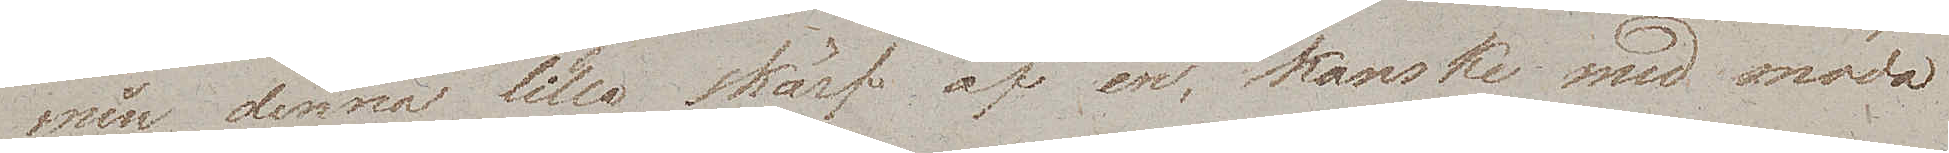min denna lilla skärf af en, kanske med möda
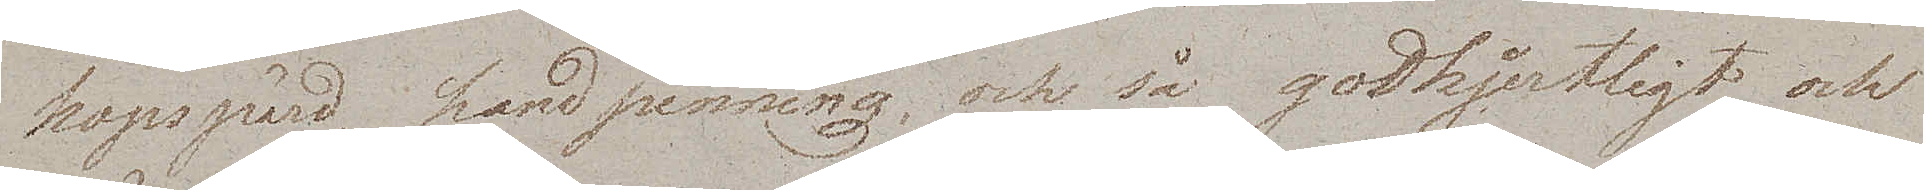hopspard handpenning, och så godhjertligt och
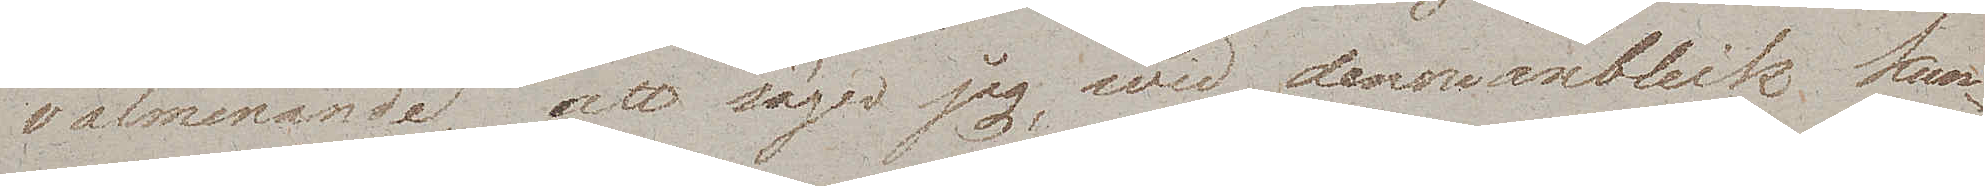välmenande, att säger jag, wid denna anblick kun¬
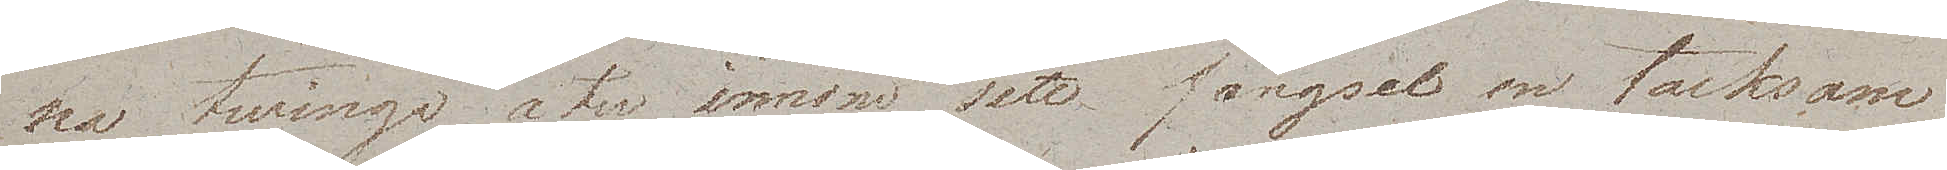na twinga åter innom sitt fängsel en tacksam
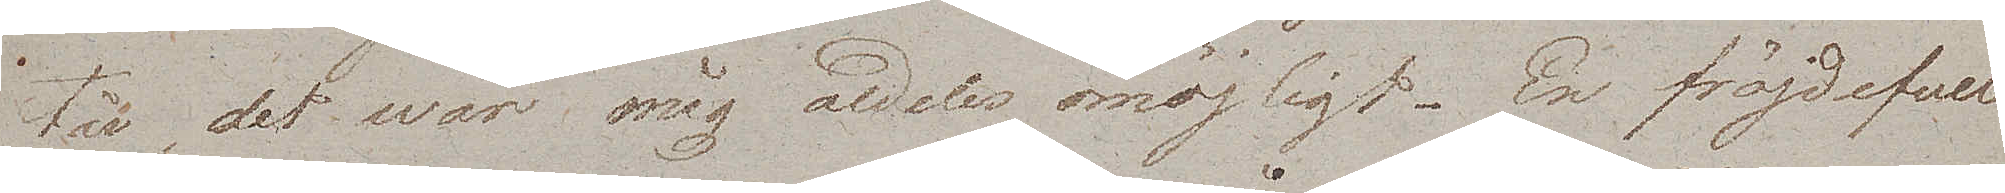tår, det war mig aldeles omöjligt. En fröjdefull
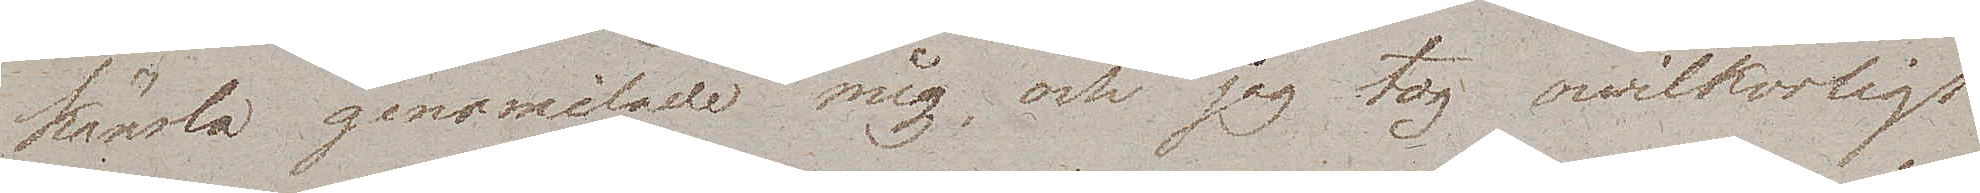känsla genomilade mig, och jag tog owilkorligt
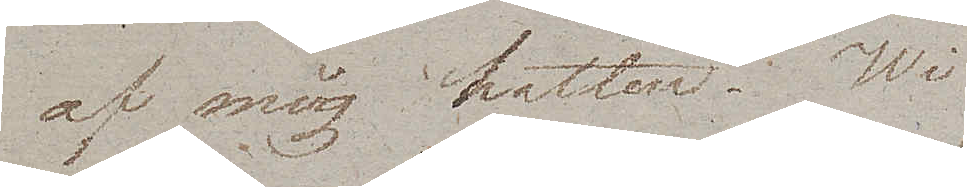af mig hatten. Wi
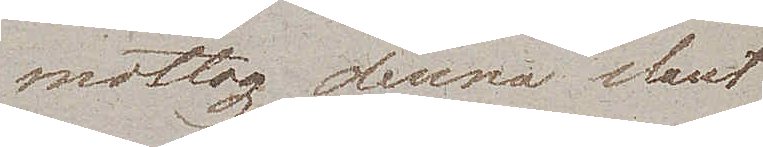mottog denna slant
